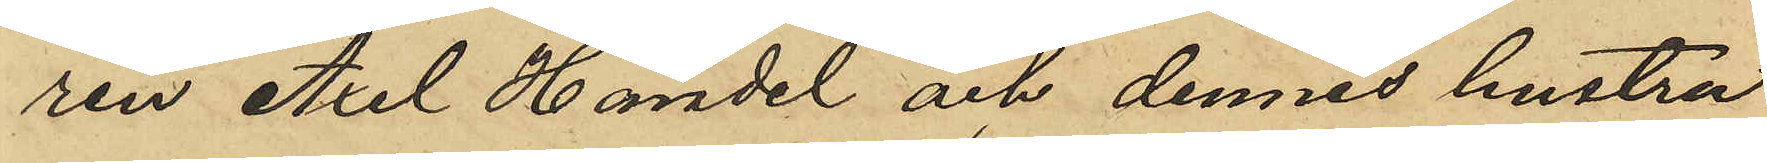ren Axel Händel och dennes hustru
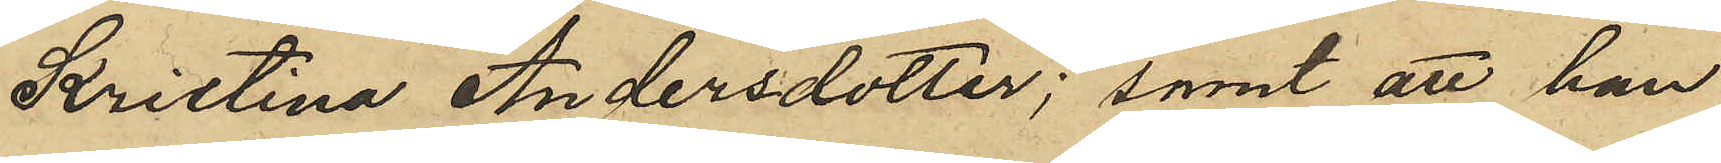Kristina Andersdotter; samt att han
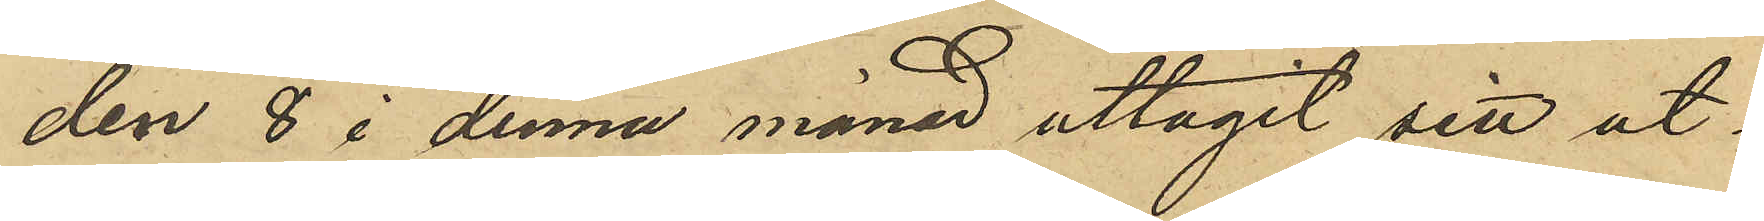den 8 i denna månad uttagit sitt ut¬
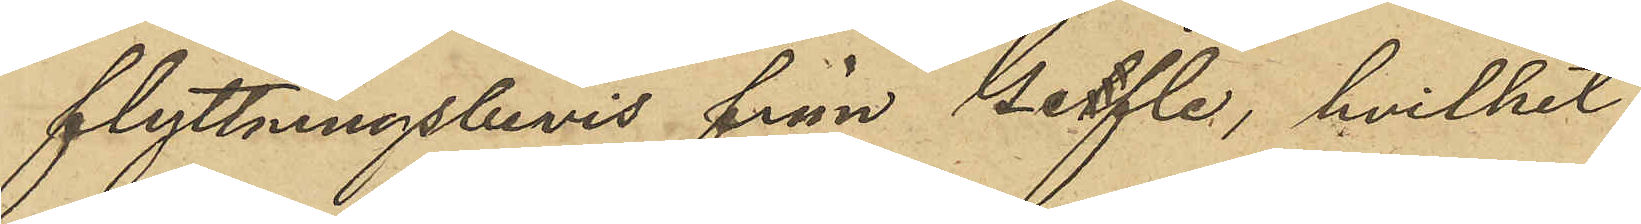flyttningsbevis från Getfle, hvilket
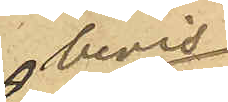bevis
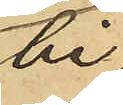bi¬
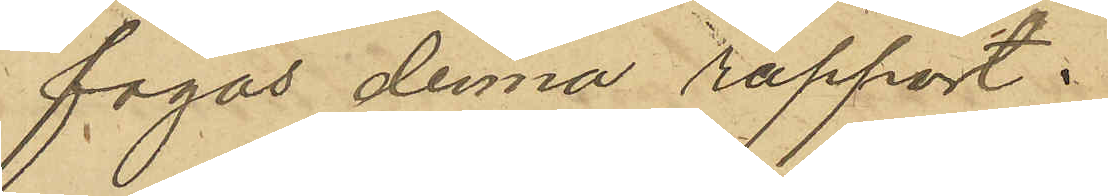fogas denna rapport.
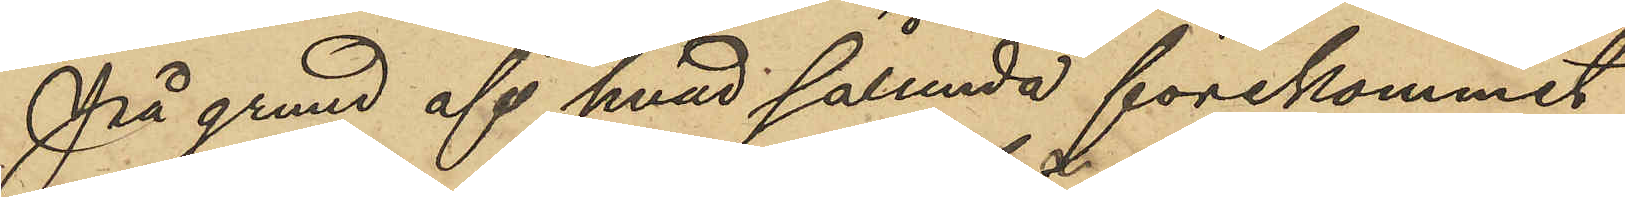På grund af hvad sålunda förekommit
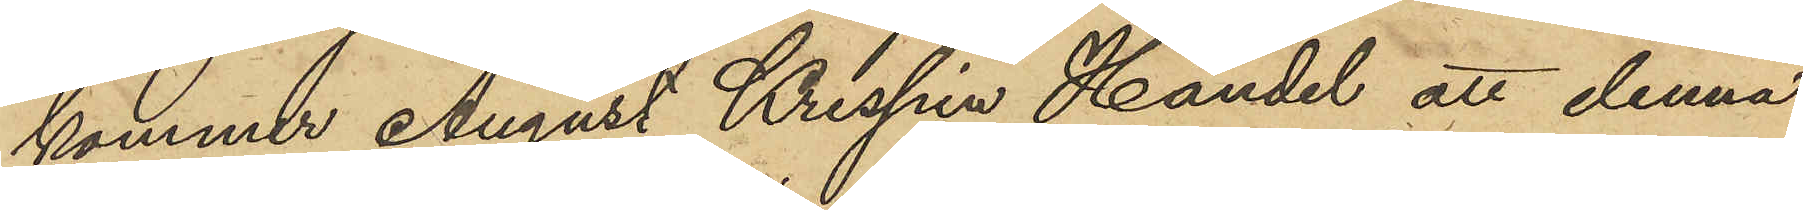kommer August Krispin Händel att denna
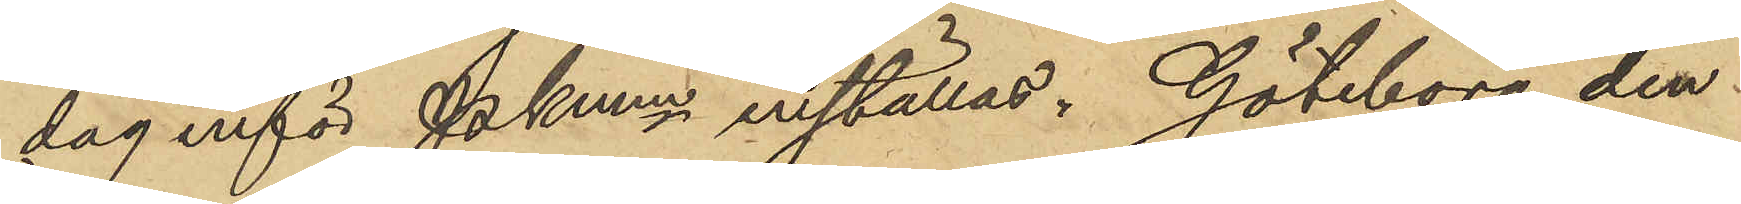dag inför Pkmn inställas. Göteborg den
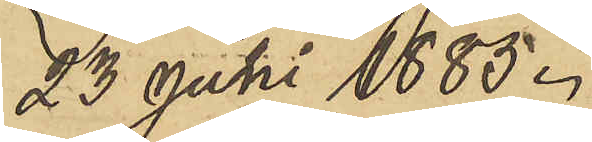23 Juli 1885.
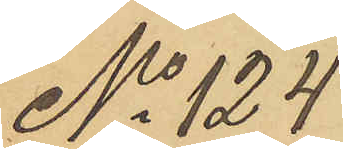No 124
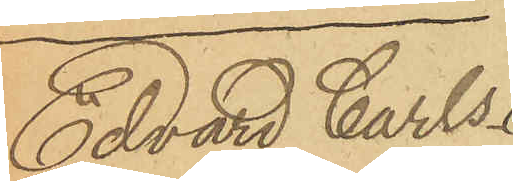Edvard Carls¬
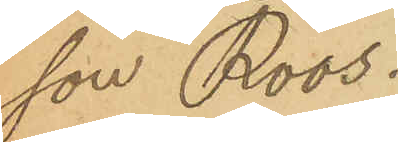son Roos.
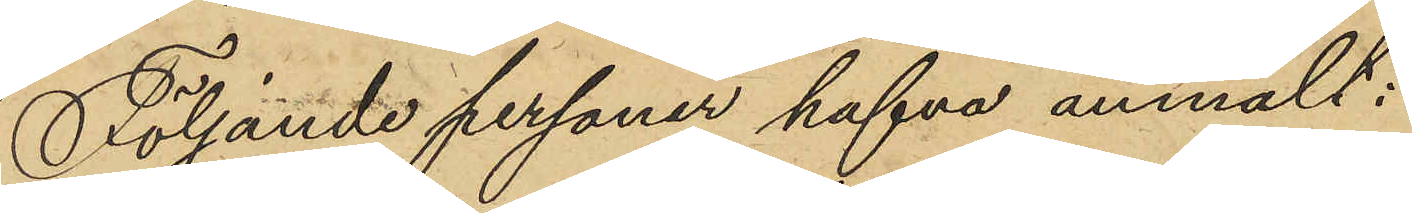Följande personer hafva anmält:
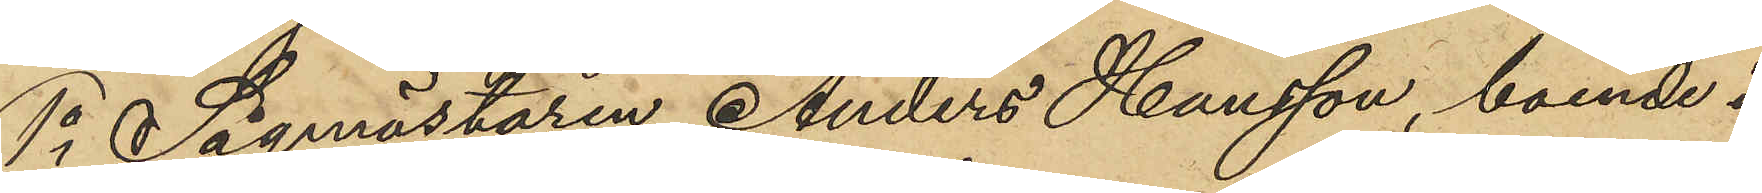1o Sågmästaren Anders Hansson, boende i
